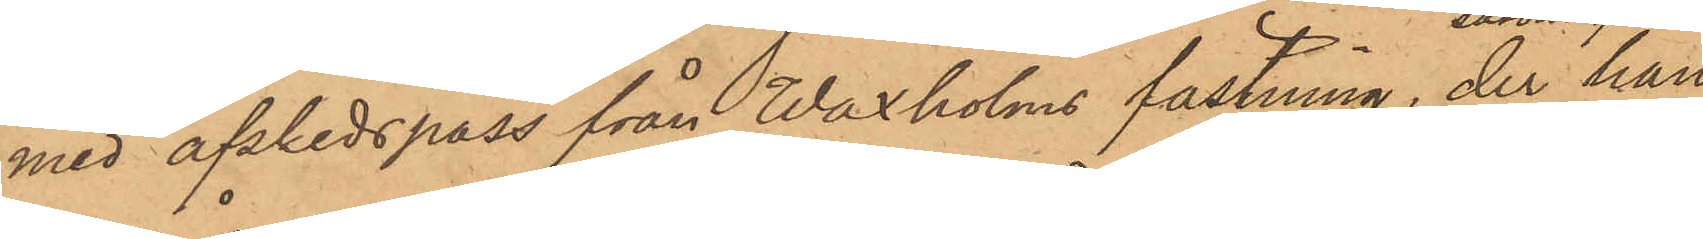med afskedspass från Waxholms fästning, der han
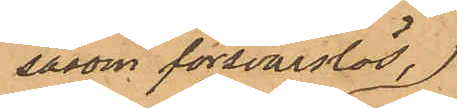såsom försvarslös,
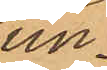un¬
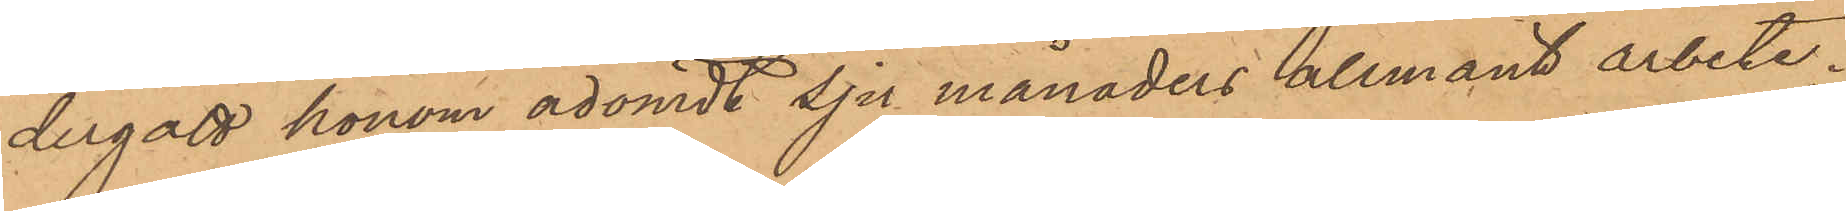dergått honom ådömdt sju månaders allmänt arbete;
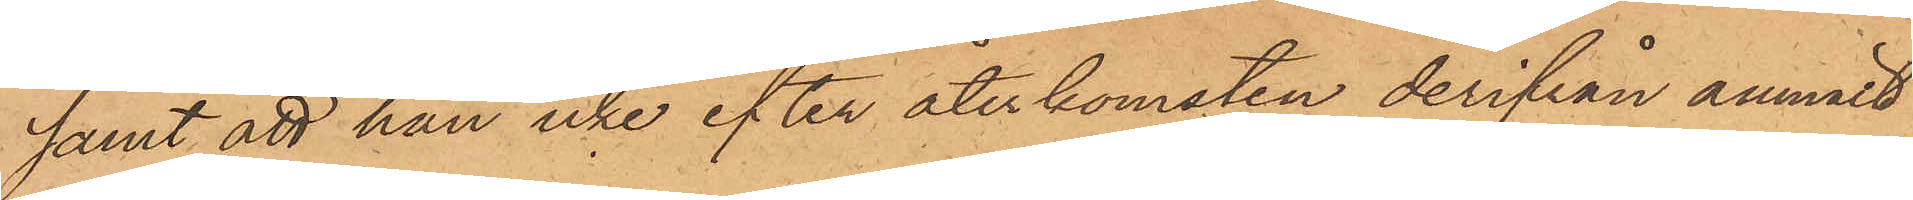samt att han icke efter återkomsten derifrån anmält
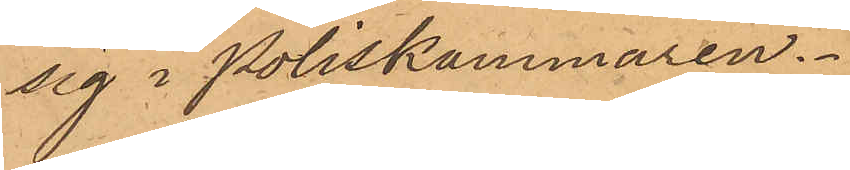sig i Poliskammaren.
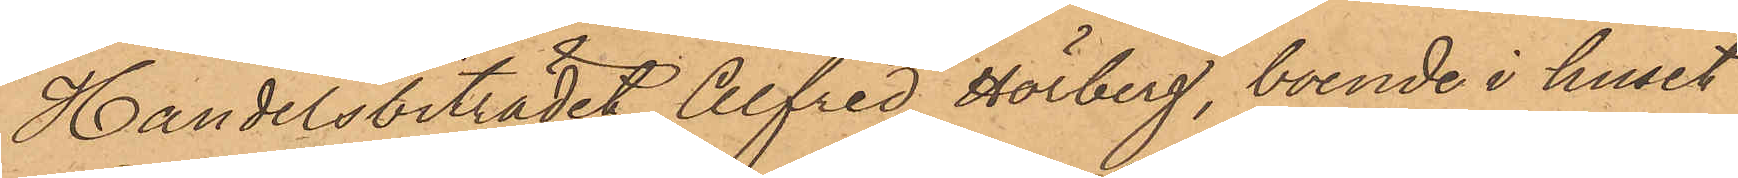Handelsbiträdet Alfred Hörberg, boende i huset
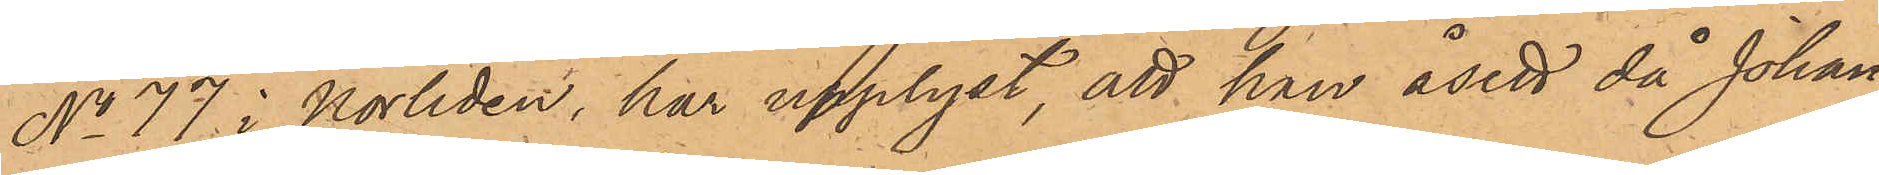No 77 i Norliden, har upplyst, att han åsett då Johan¬
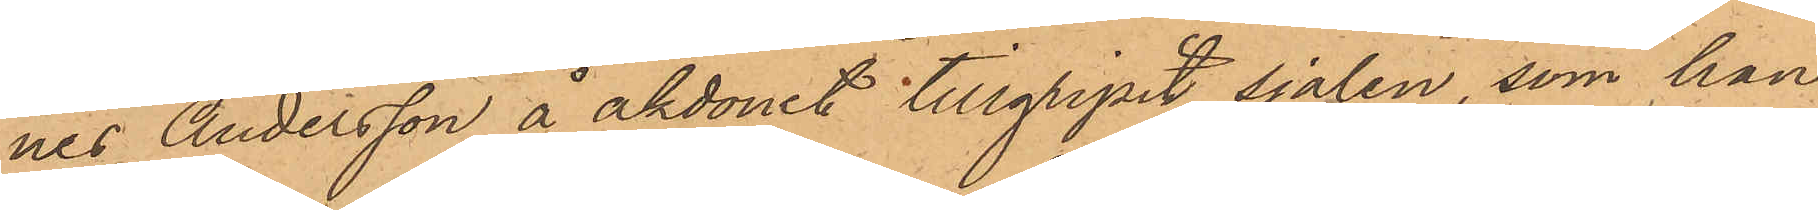nes Andersson å åkdonet tillgripit sjalen, som han
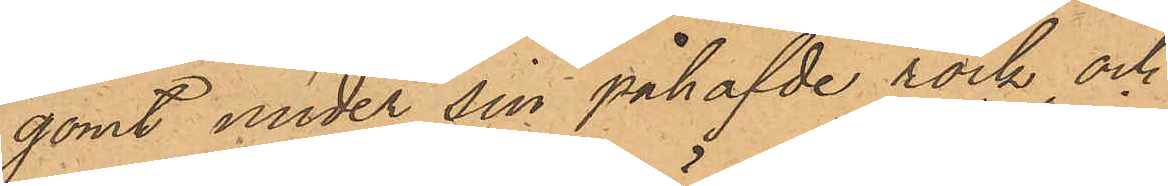gömt under sin påhafvde rock och
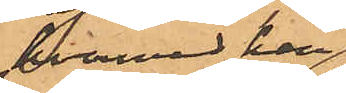dermed har
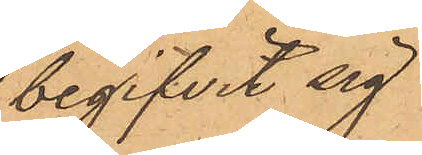begifvit sig
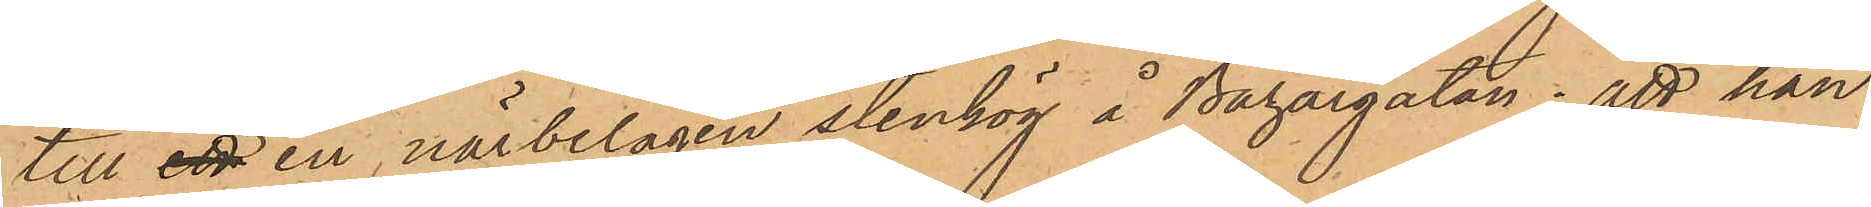till ett en närbelägen stenhög å Bazargatan; att han
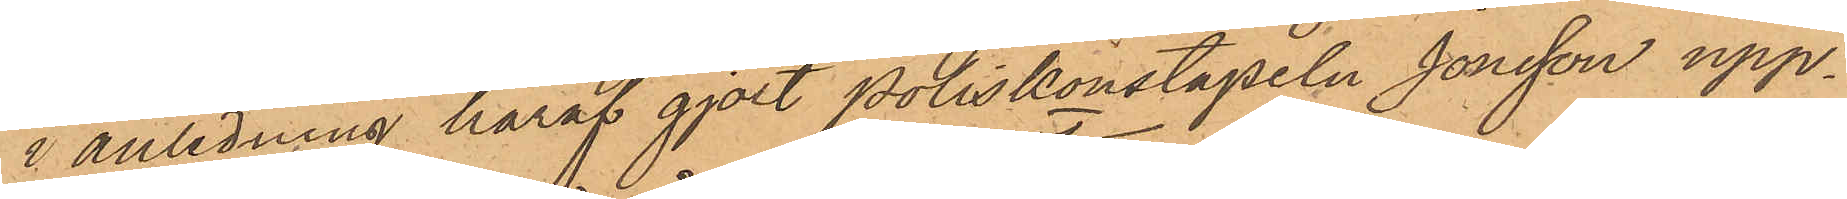i anledning häraf gjort Poliskonstapeln Jonsson upp¬
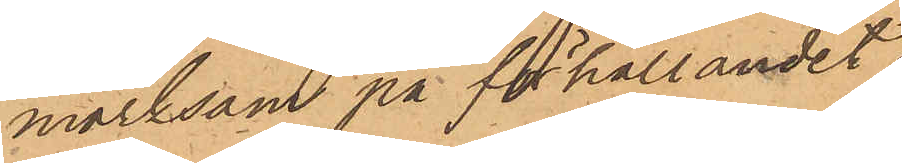märksom på förhållandet;
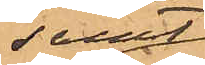samt
